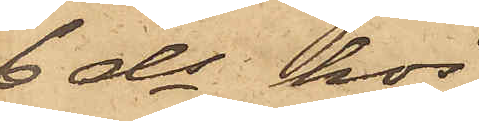6 ds hos
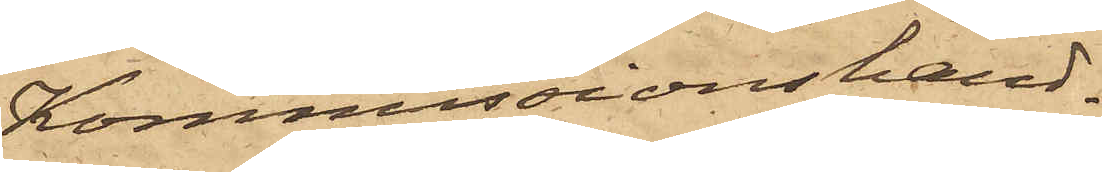Kommissionshand¬
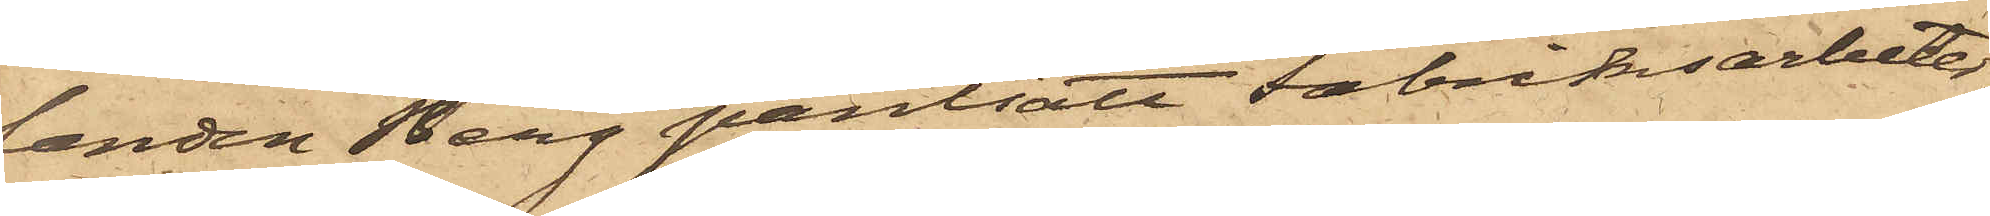landen Berg pantsatt Fabriksarbeter¬
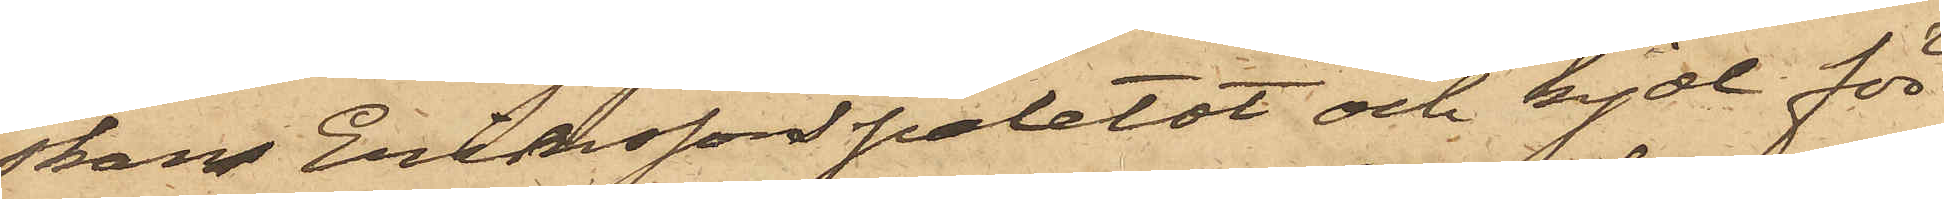skan Eriksson paletot och kjol för
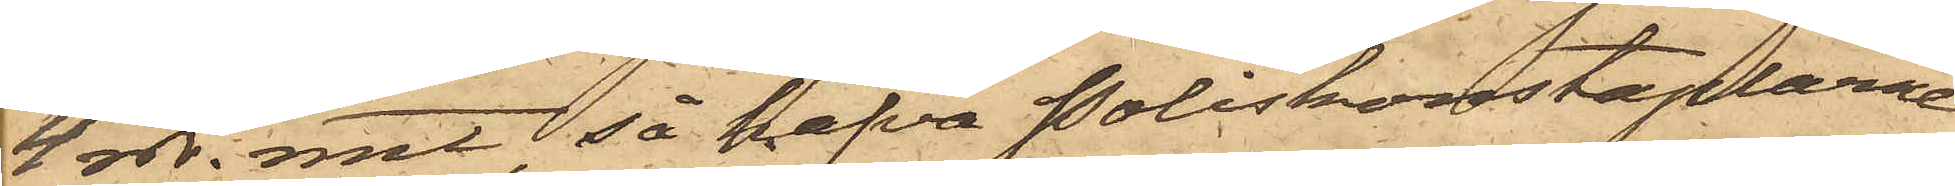4 rdr. rmt, så hafva Poliskonstaplarne
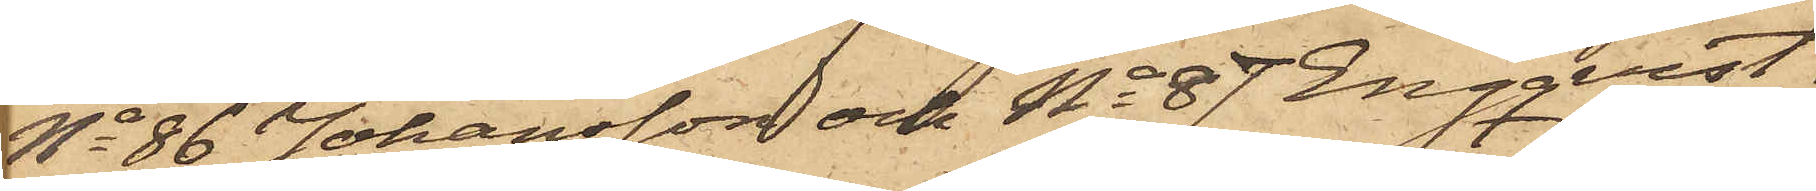No 86 Johansson och No 87 Engquist
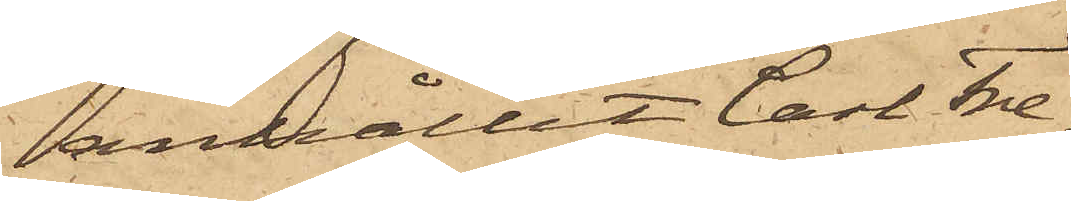anhållit Carl Fre¬
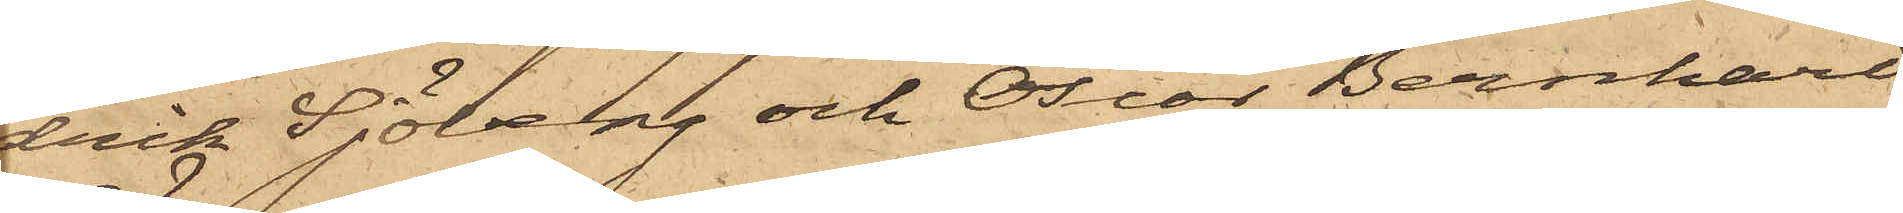drik Sjöberg och Oscar Bernhard
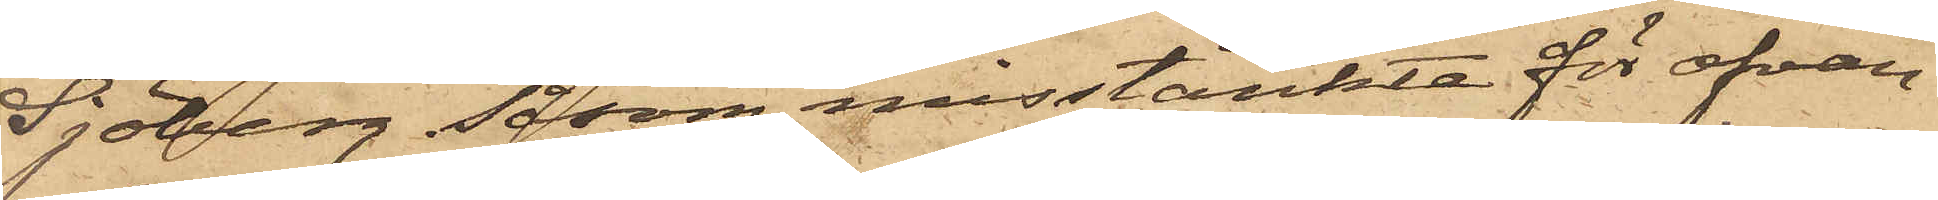Sjöberg såsom misstänkte för ofvan¬
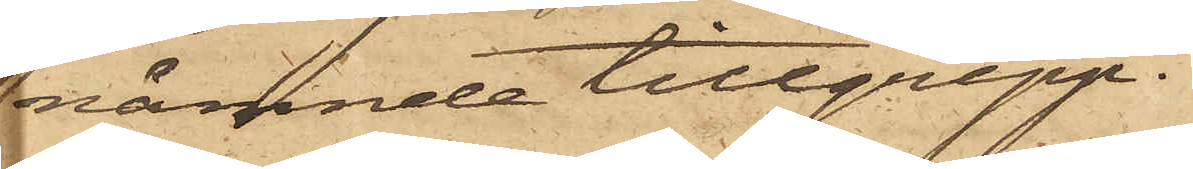nämnde tillgrepp.
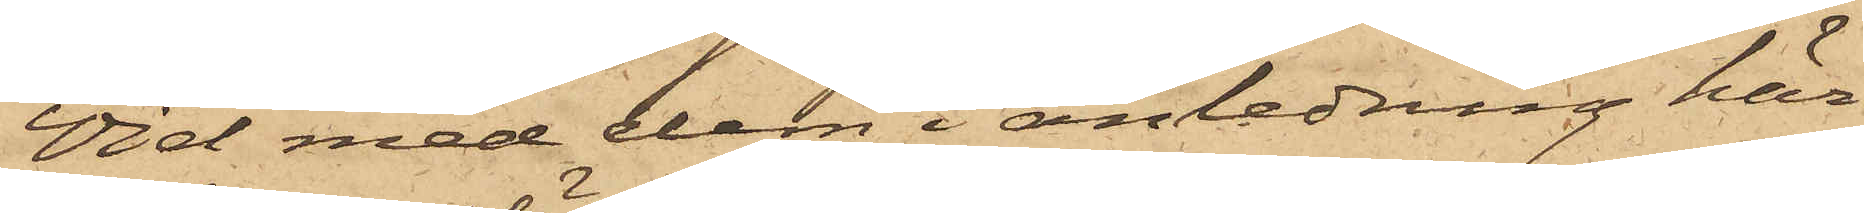Vid med dem i anledning här¬
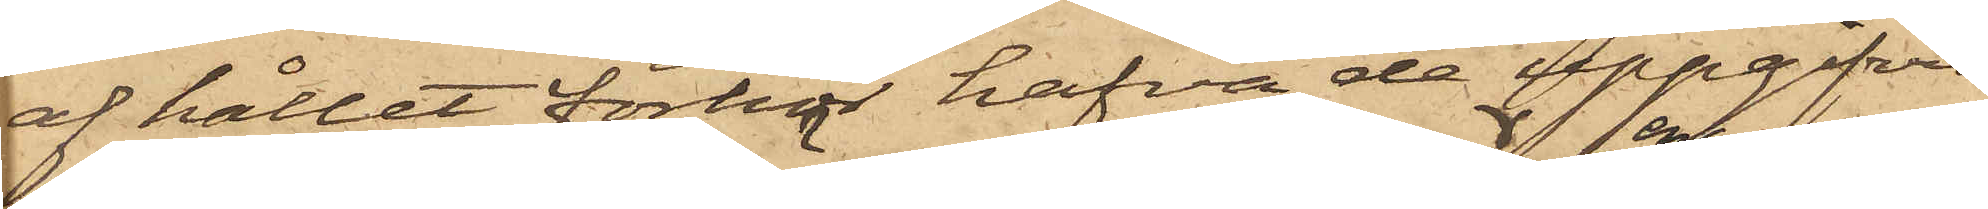af hållet förhör hafva de uppgifvit.
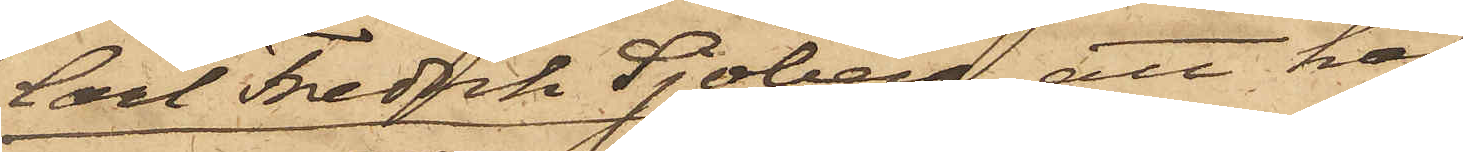Carl Fredrik Sjöberg, att han
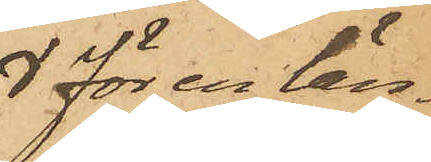för en län¬
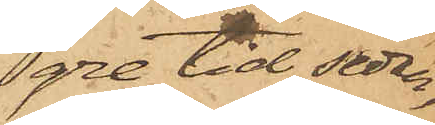gre tid sedan
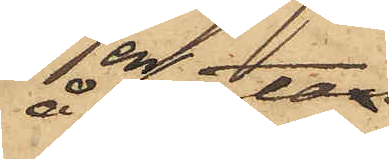å en gata
